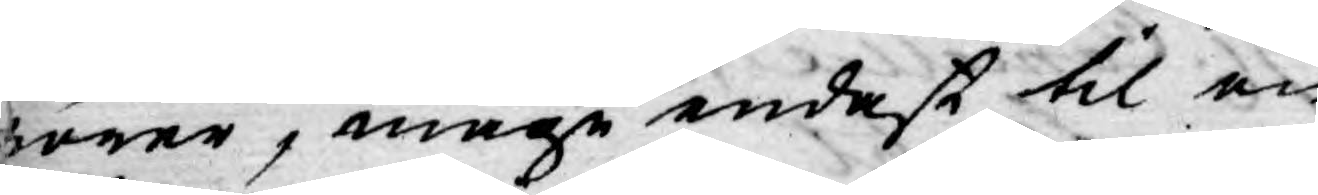rörer, måge endast til en
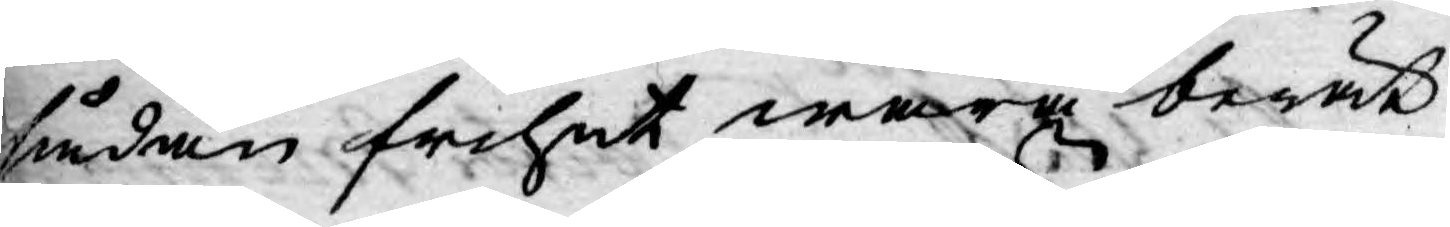sådan frihet wara berät¬
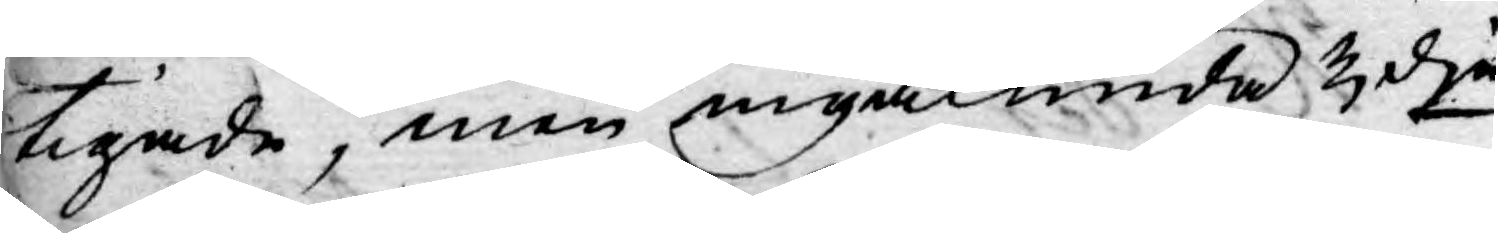tigade, men ingalunda 3dje
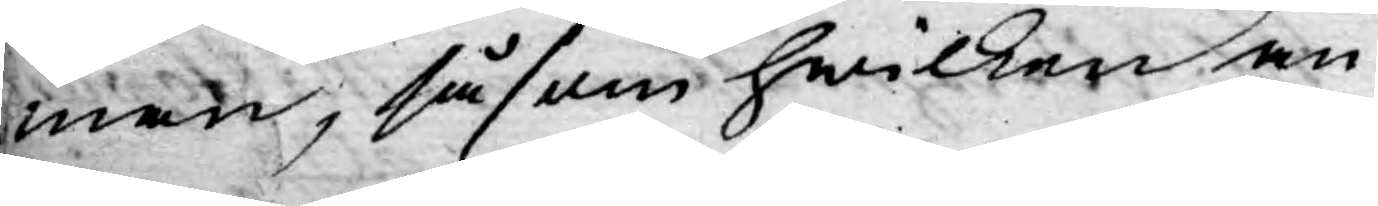man, såsom hwilken an¬
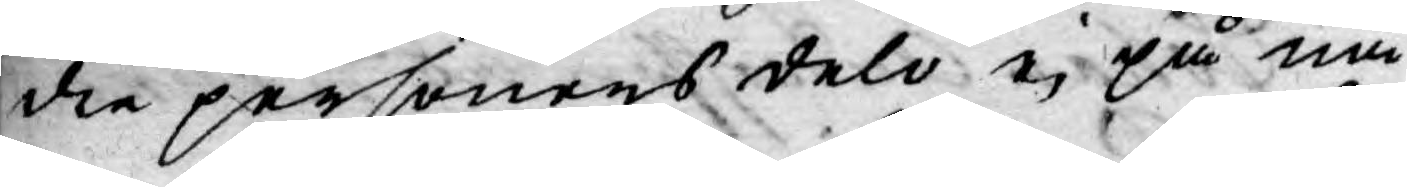dre personens delo ej på nå¬
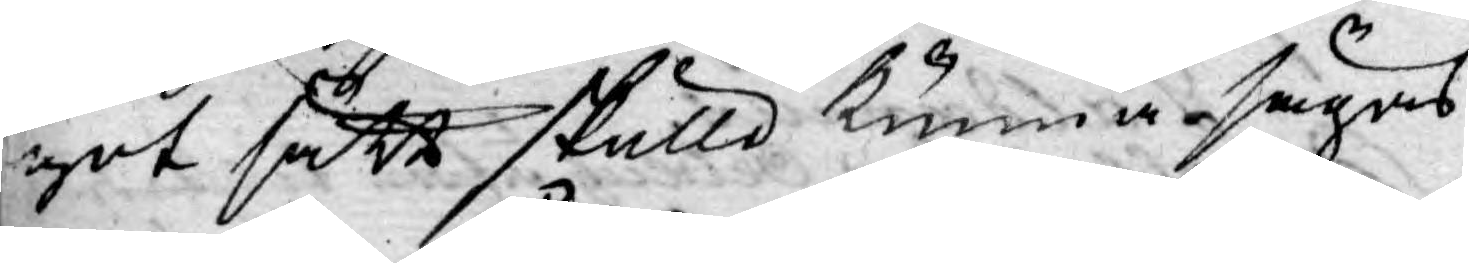got sätt skulle kunna sägas
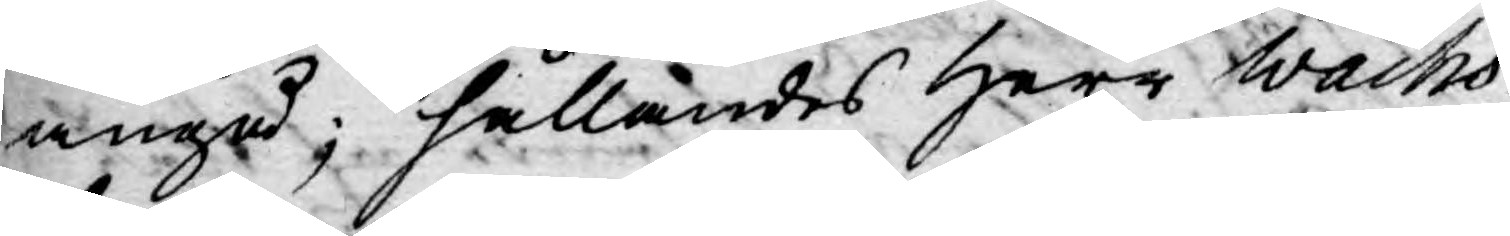angå; hållandes Herr Wachs¬
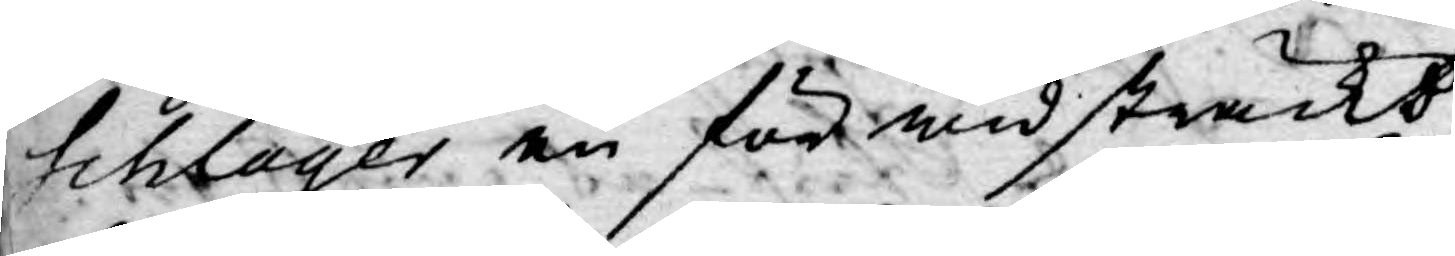schlager en för widsträckt
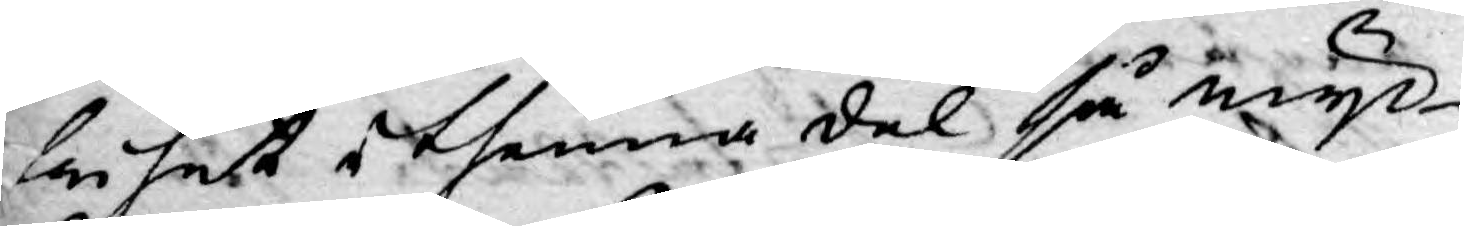frihet i thenna del så myc¬
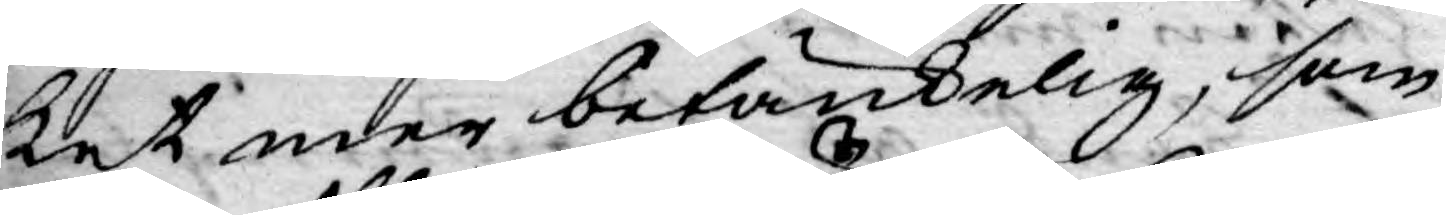ket mer betänkelig, som
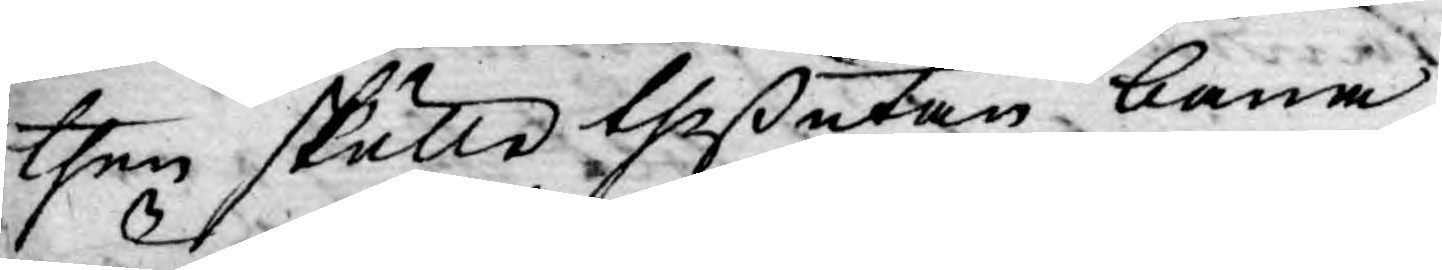then skulle theßutan bana
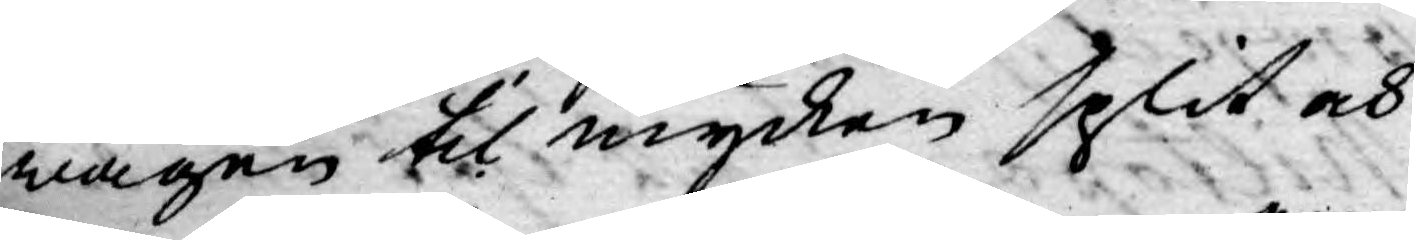wägen til mycken split och
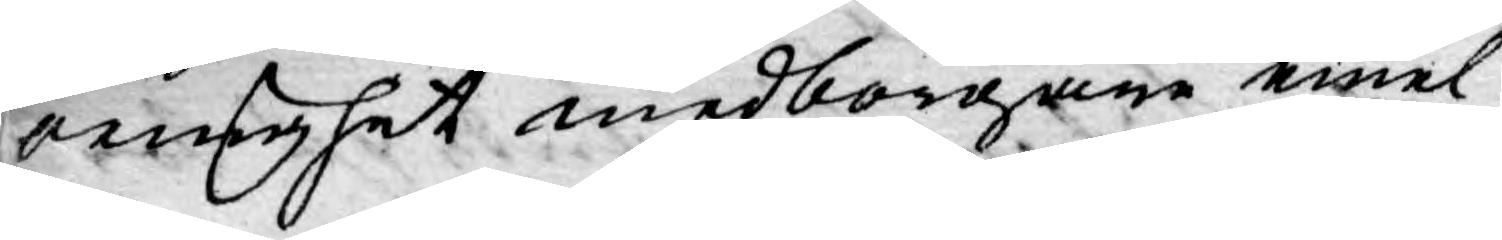oenighet medborgare emel¬
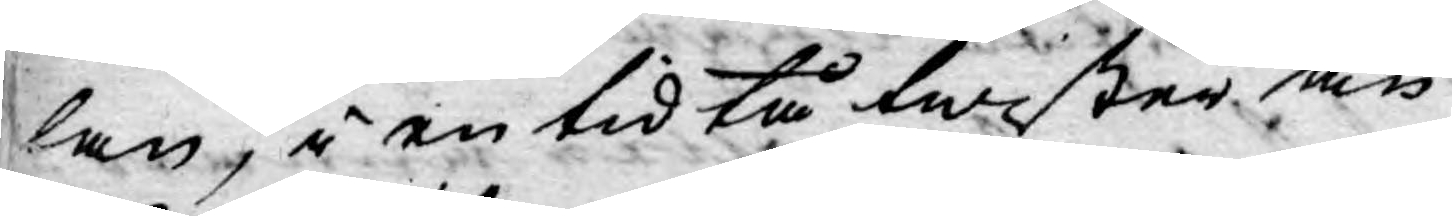lan, i en tid tå twister än¬
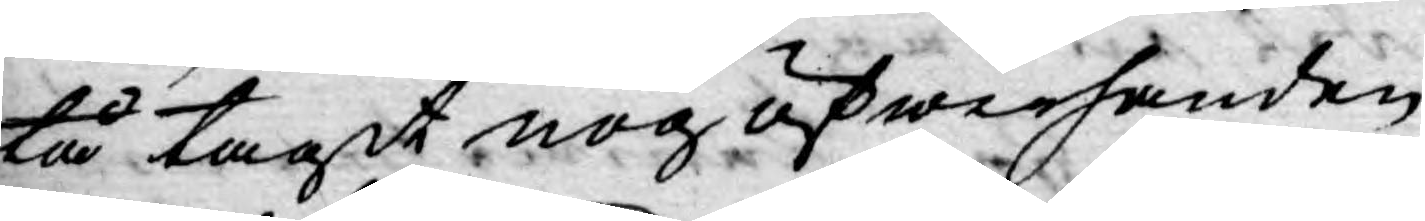tå tagit nog öfwerhanden,
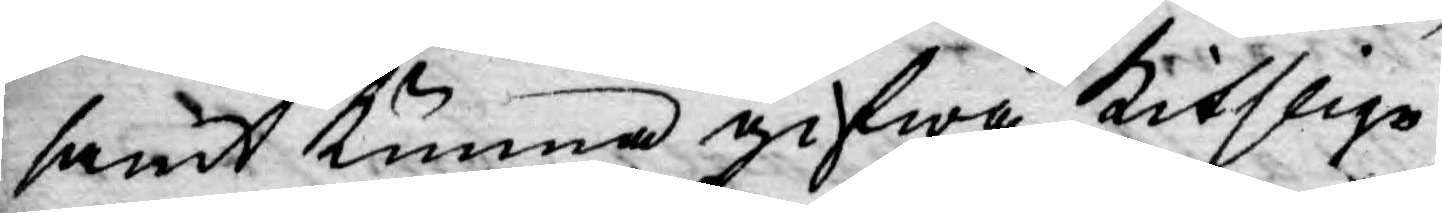samt kunna gifwa kitslige
